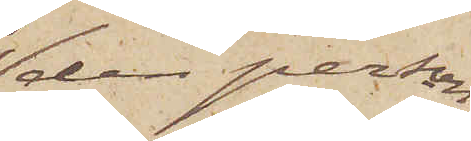den person
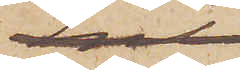hvilken
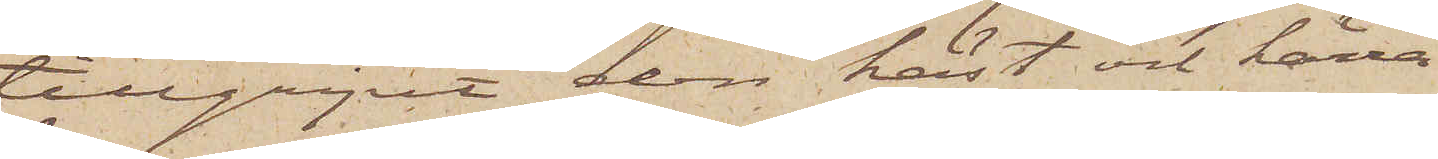tillgripit den häst och kärra
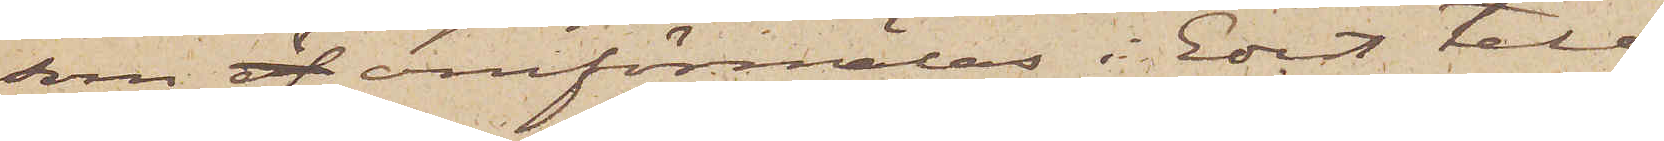som öf omförmäles i Edet tele¬
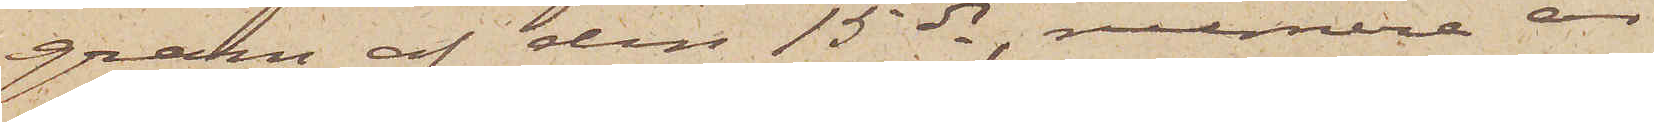gran af den 15 ds, numera är
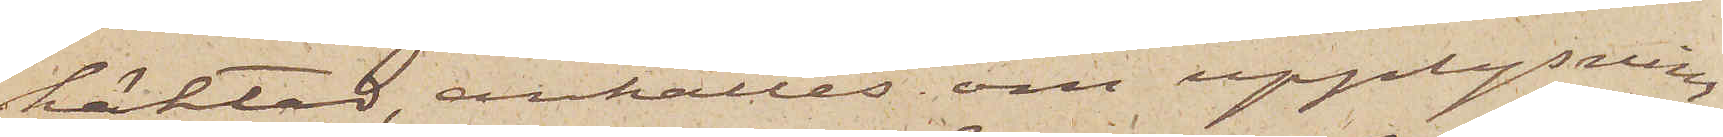häktad, anhålles om upplysning
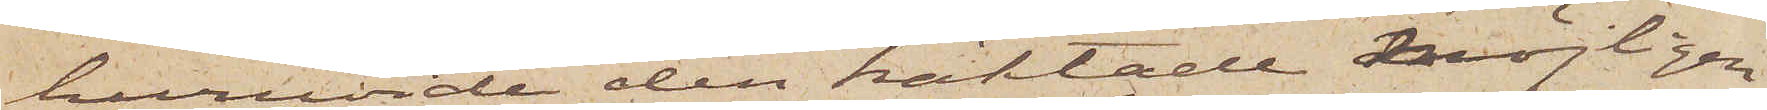huruvida den häktade möjligen
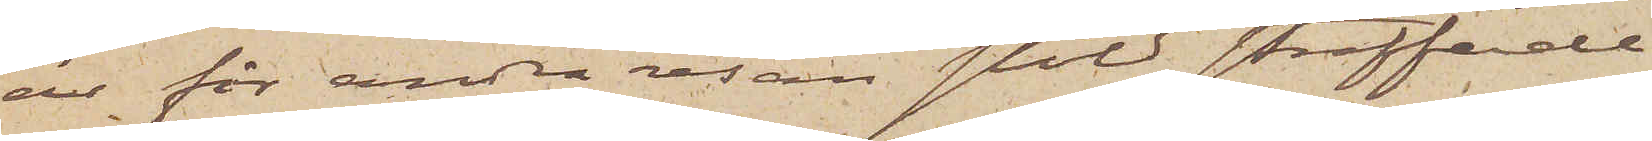är för andra resan stöld straffade
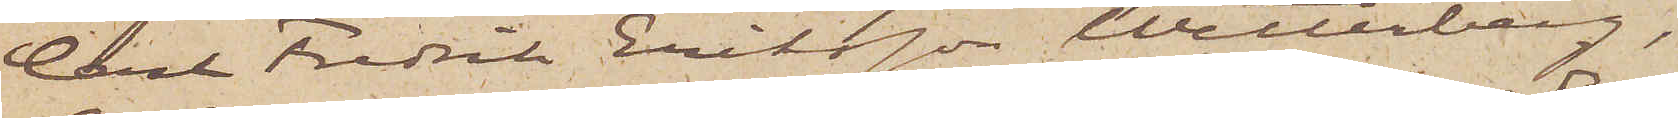Carl Fredrik Eriksson Wetterberg,
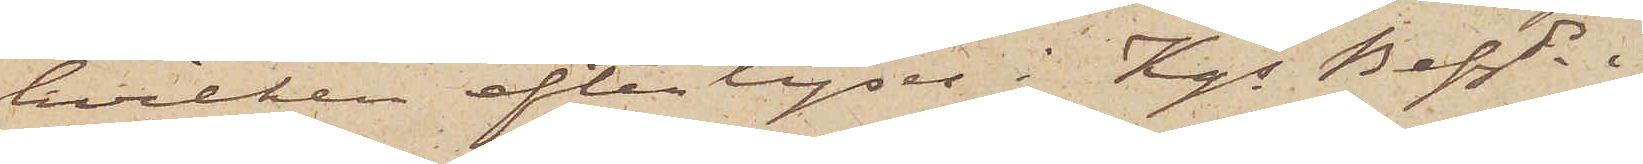hvilken efterlyses i Kgs Befde i
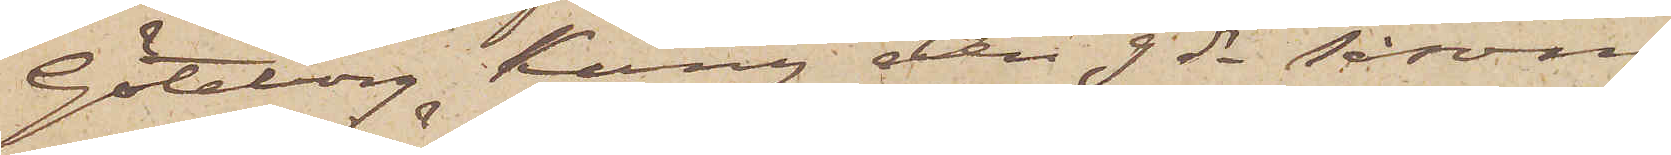Göteborg Kung den 9 ds såsom
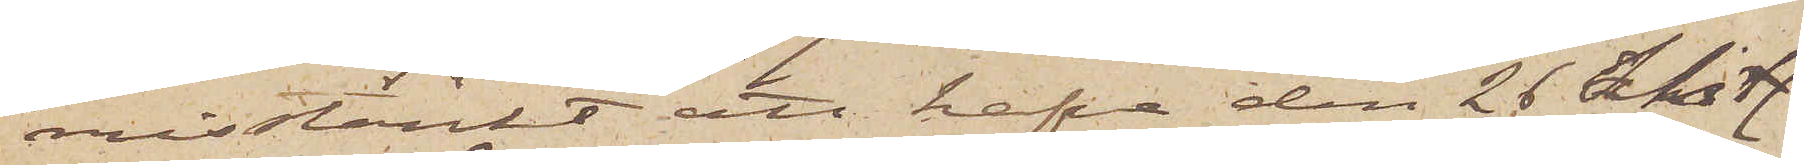misstänkt att hafva den 26 Sistl.
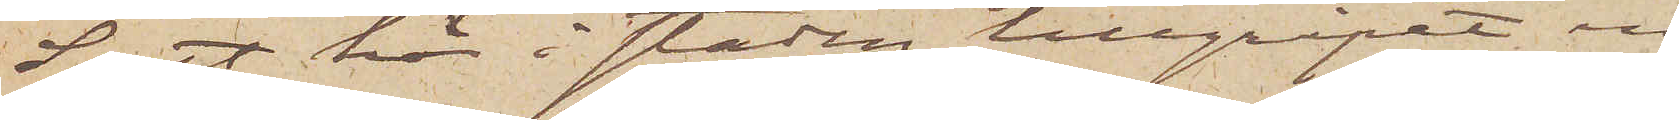Sept här i staden tillgripit en
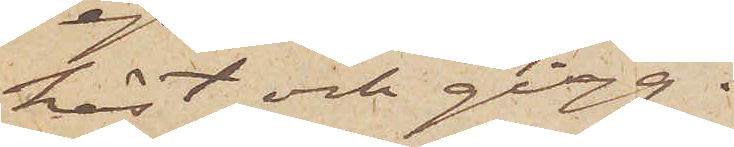häst och gigg.
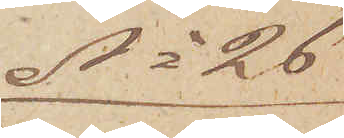No 26
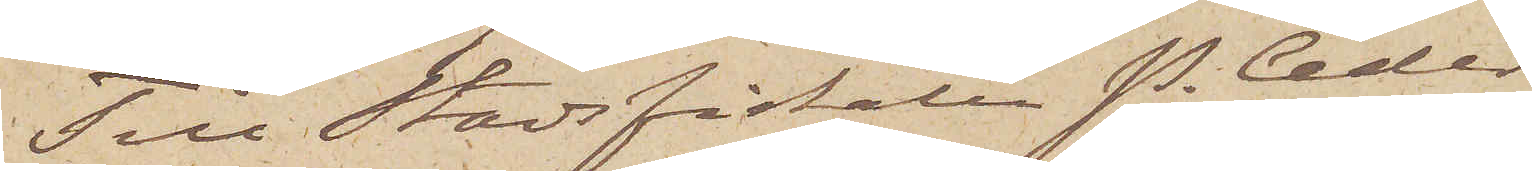Till Stadsfiskalen P. Ceder¬
